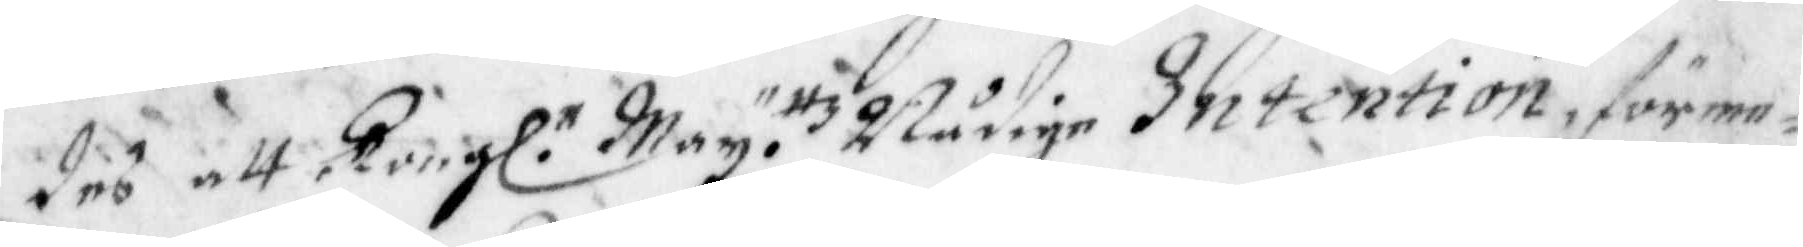des att Kongl. May. ttz Nådige Intention, förme¬
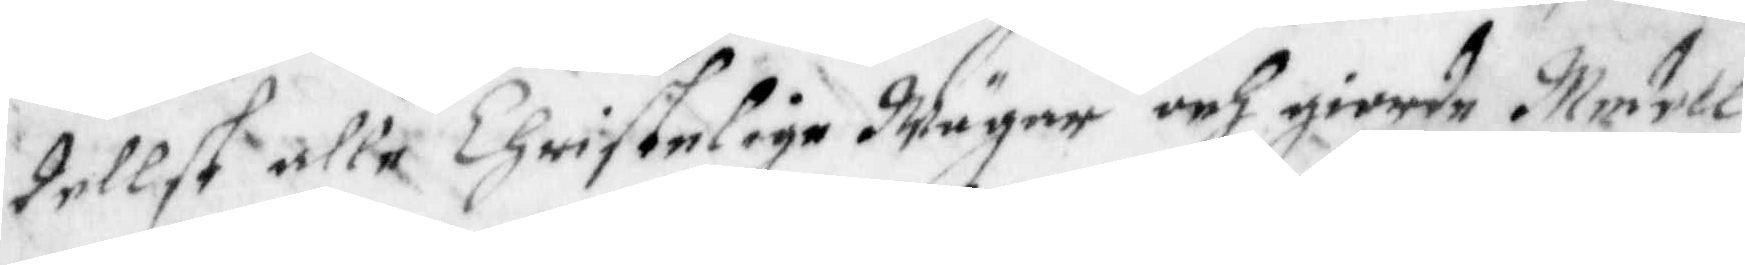dellst alle Christelige Wägnar och giorde Medell
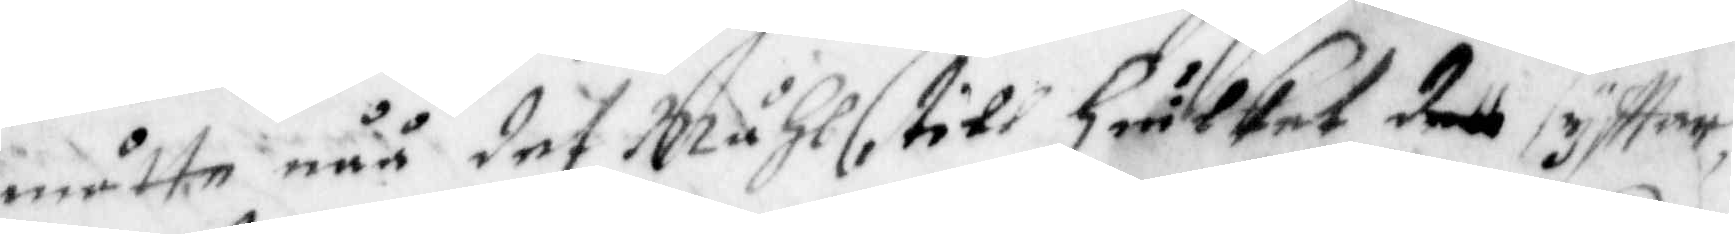måtte nåå det Måhl, till hwilket dett syfftar,
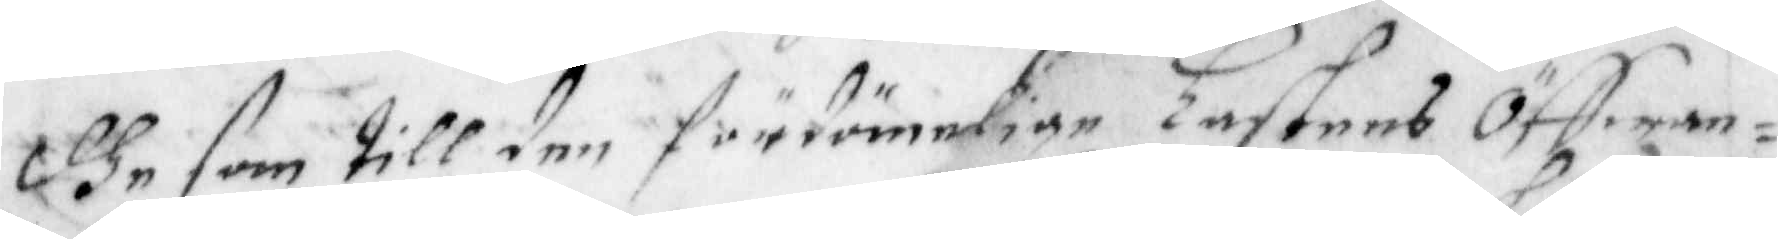dhe som till den fördömelige lastens Öffwan¬
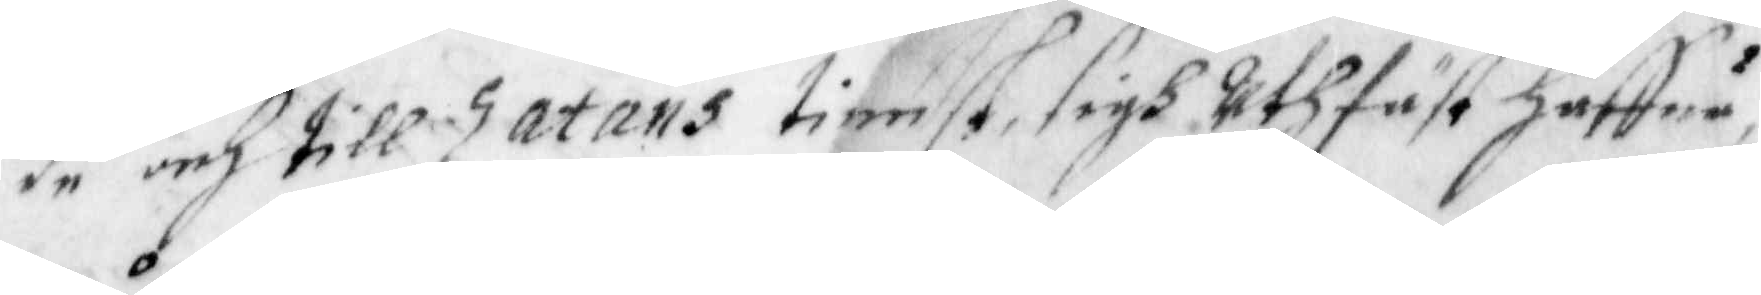de och till Zatans tienst, sigh Uthfäst haffur
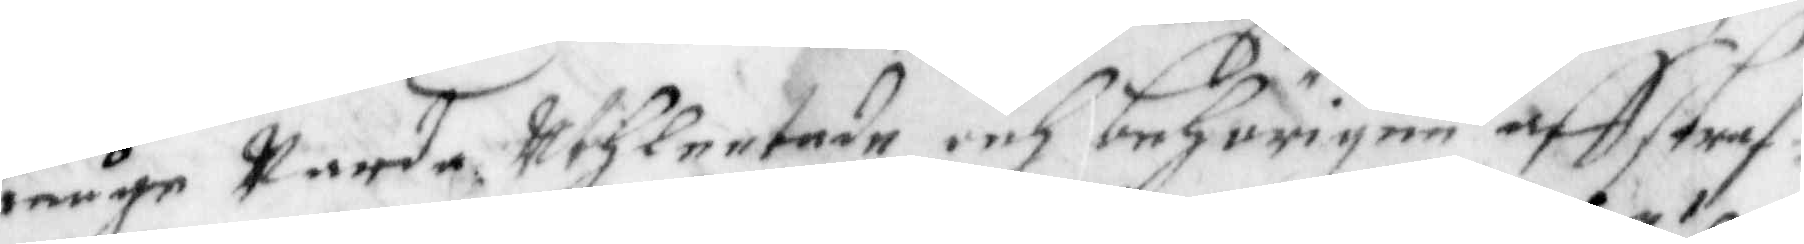måge Warda Uthleetade och behörigen affstraf¬
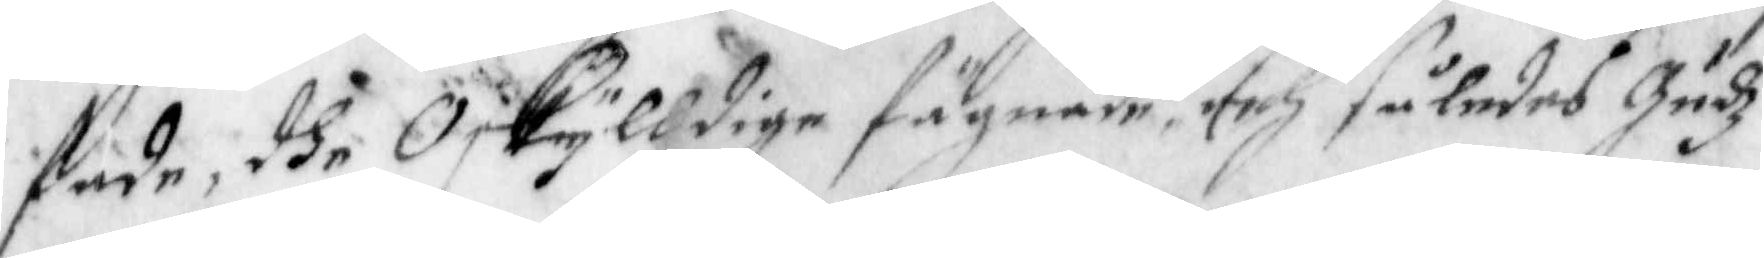fade, dhe Oskylldige fägnade och således Gudz
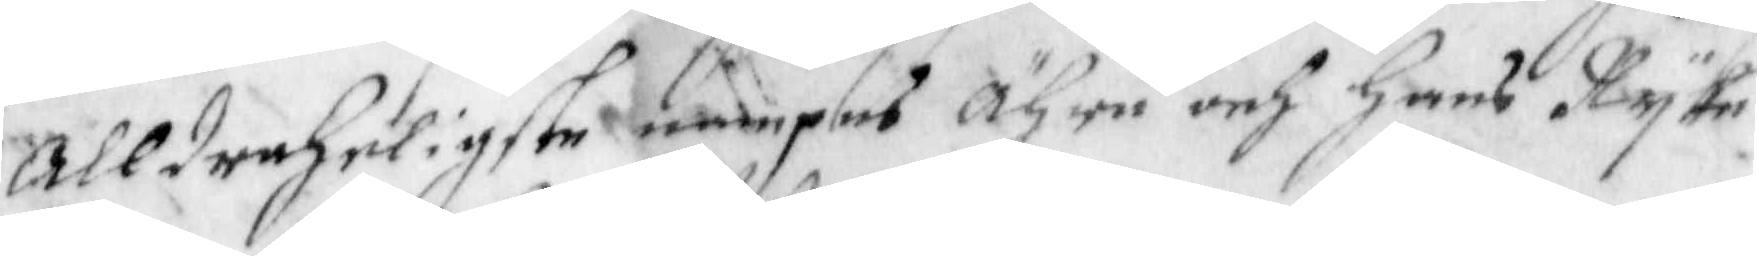Alldreheligste nampes ähra och Hans Ryke
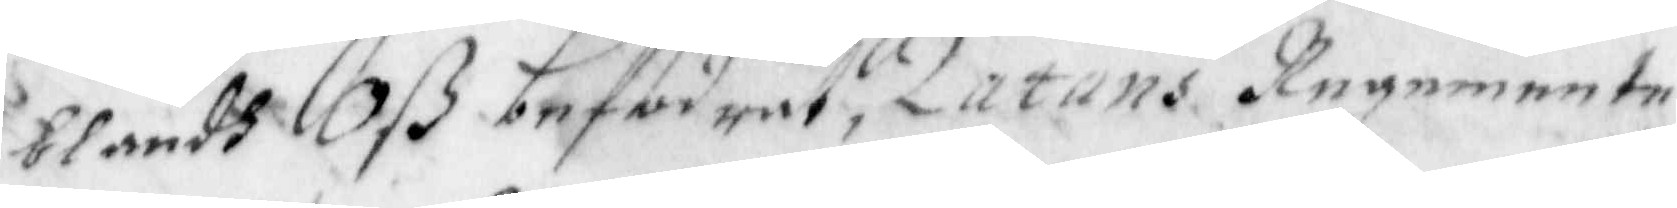i blandh Oß befodrat, Zatans regemente
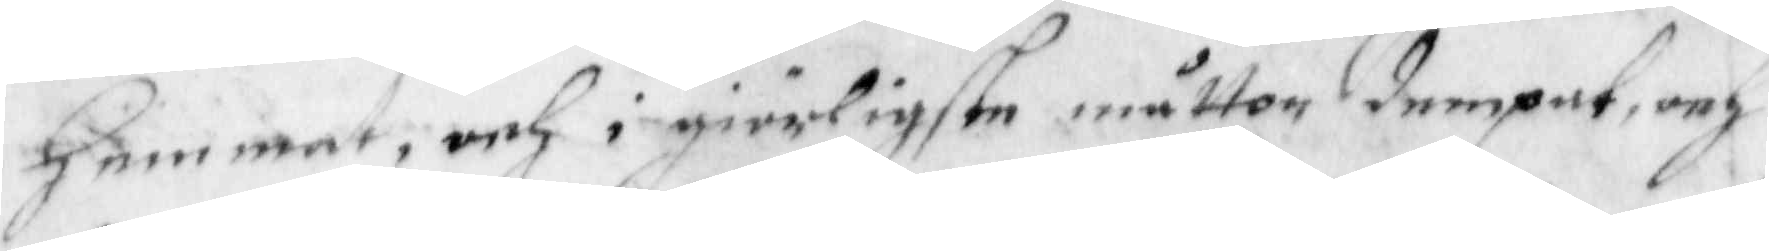Hemmat, och i giörligaste måtton dempat, och
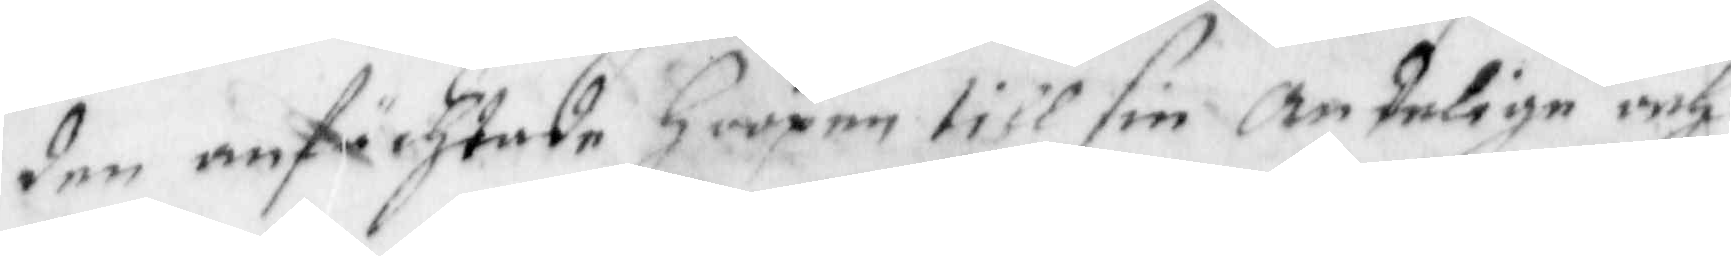den anfächtade Hoopen till sin Andelige och
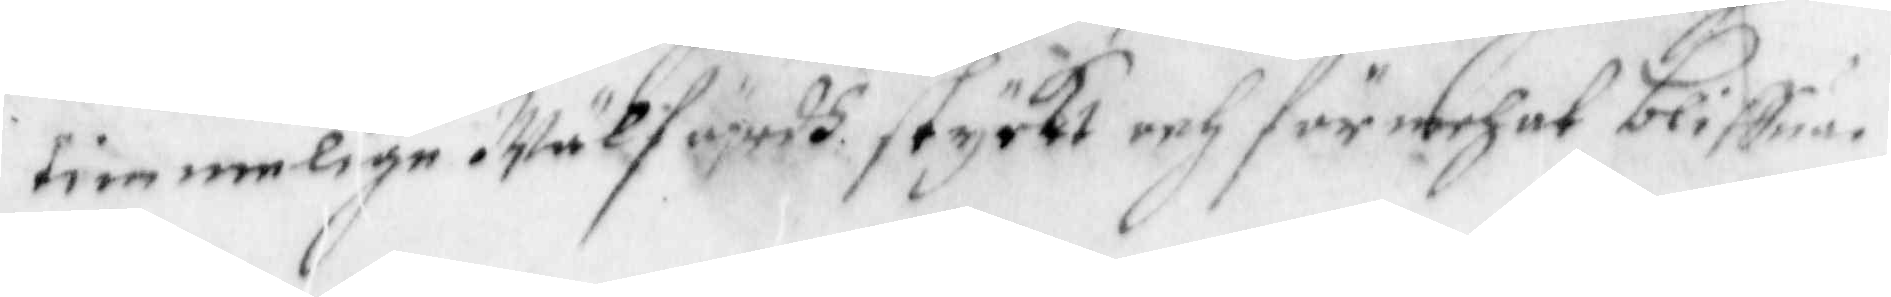tillemmelige Wälfärdh styrkt och förmerh at bliffuer
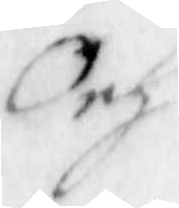Och
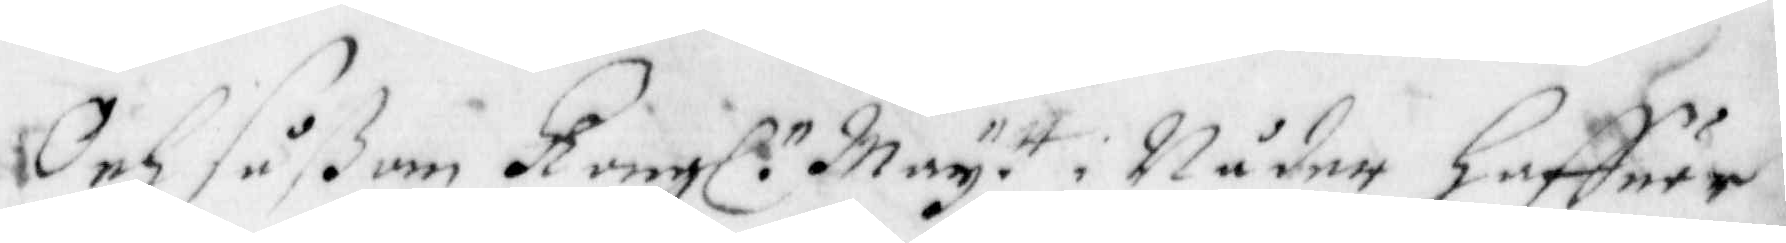och såßom Kongl. May tt i Nåder Haffuer
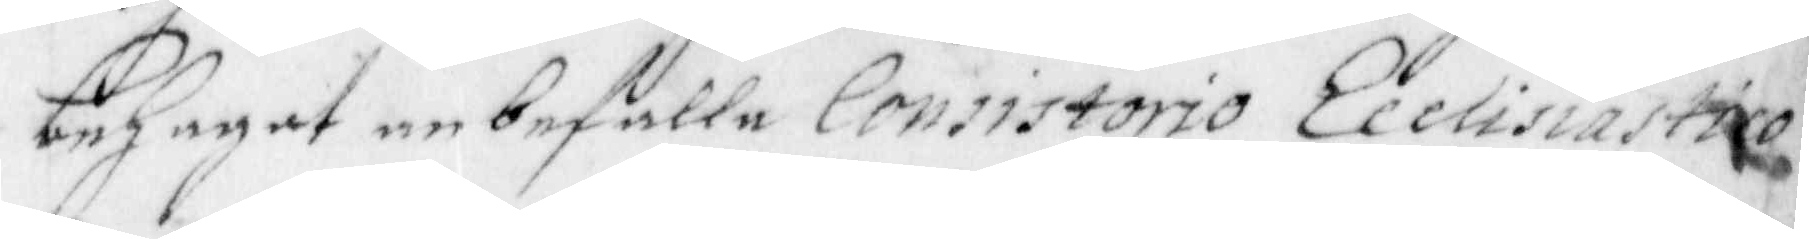behagat anbefalla Consistorio Ecelisiastico
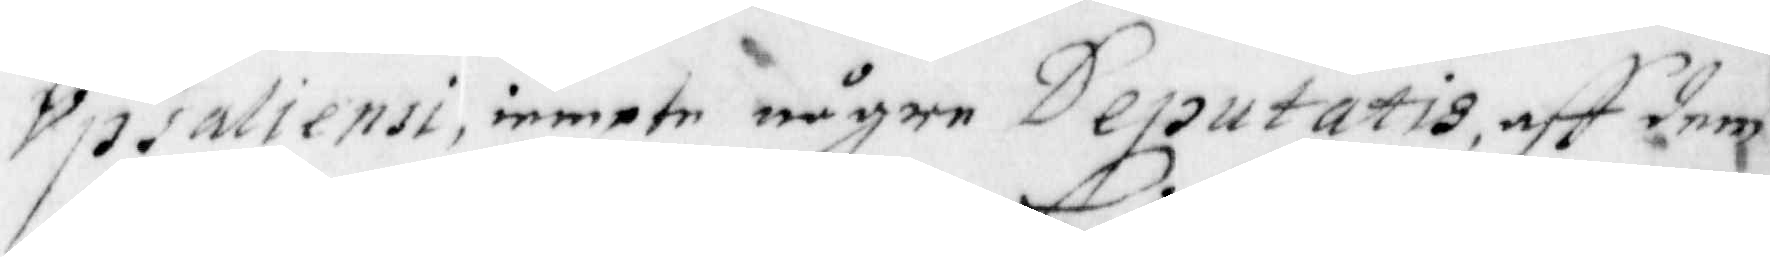Upsaliensi, iämpte någre Deputatis, aff dem
